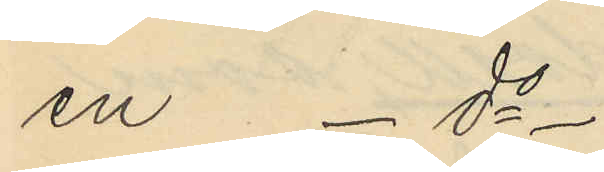en - do -
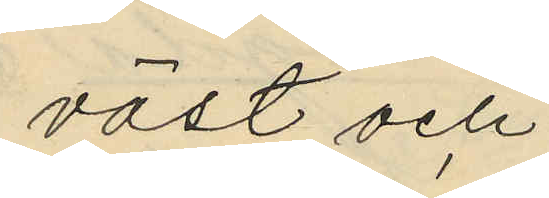väst och
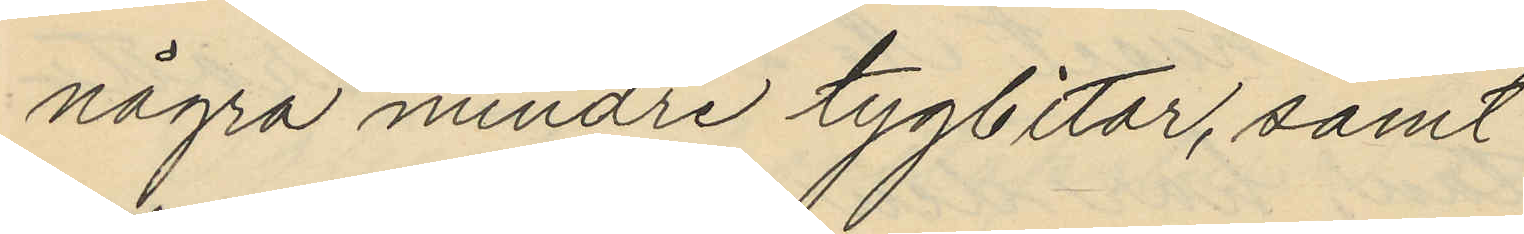några mindre tygbitar, samt
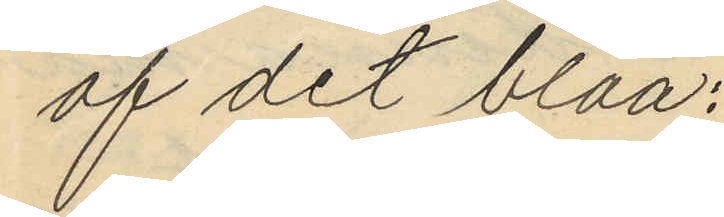af det blåa;
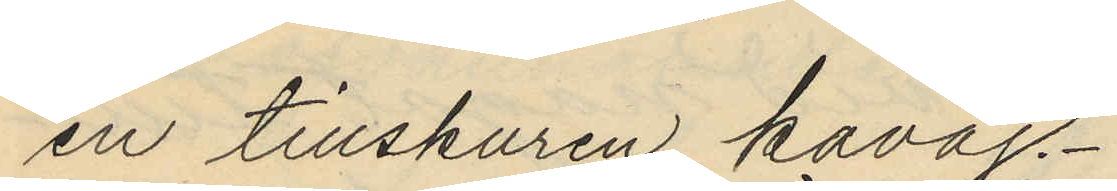en tillskuren kavaj.
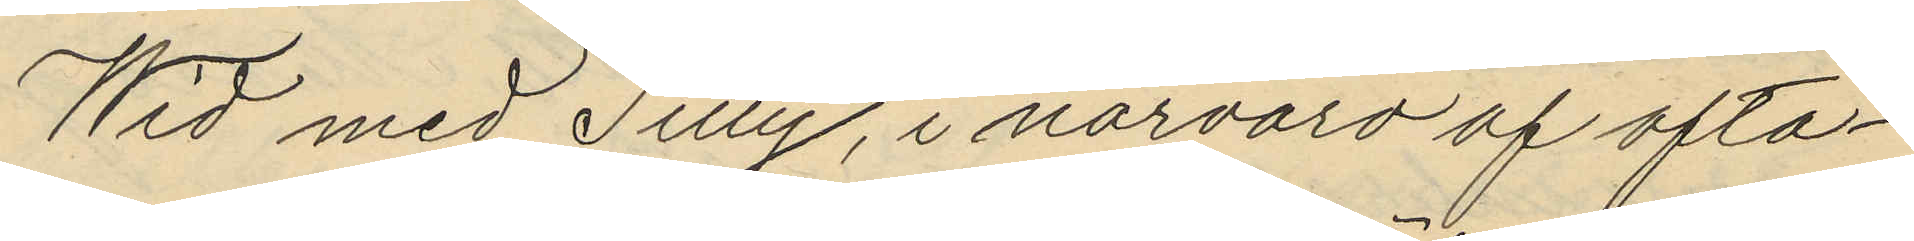Wid med Tilly, i närvaro af ofta¬
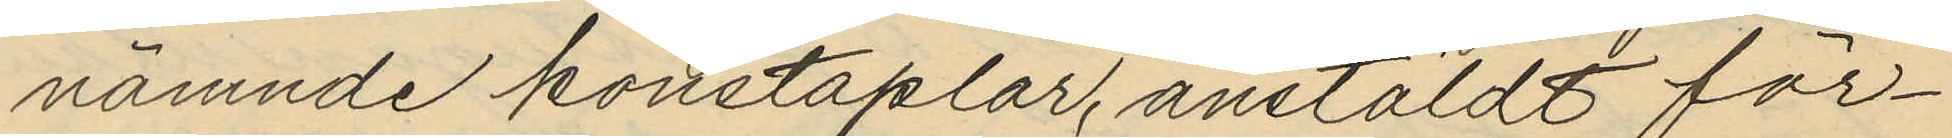nämnde konstaplar, anstäldt för¬
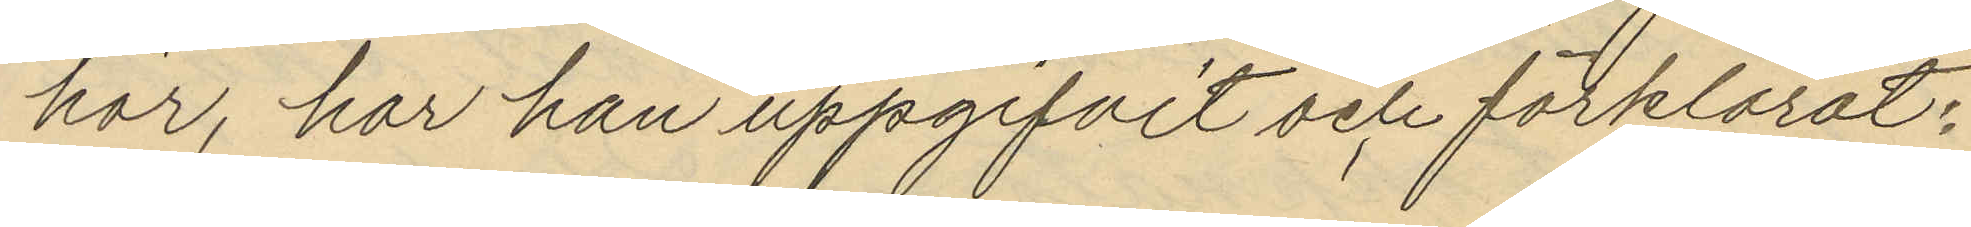hör, har han uppgifvit och förklarat:
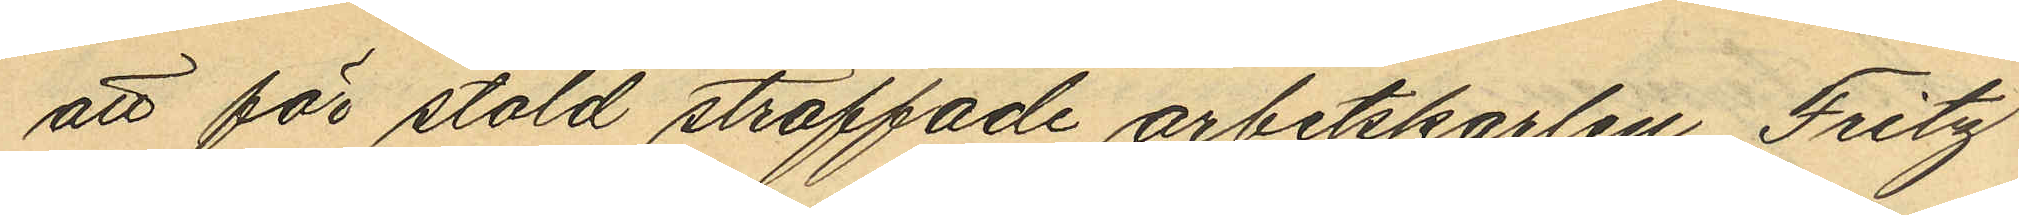att för stöld straffade arbetskarlen Fritz
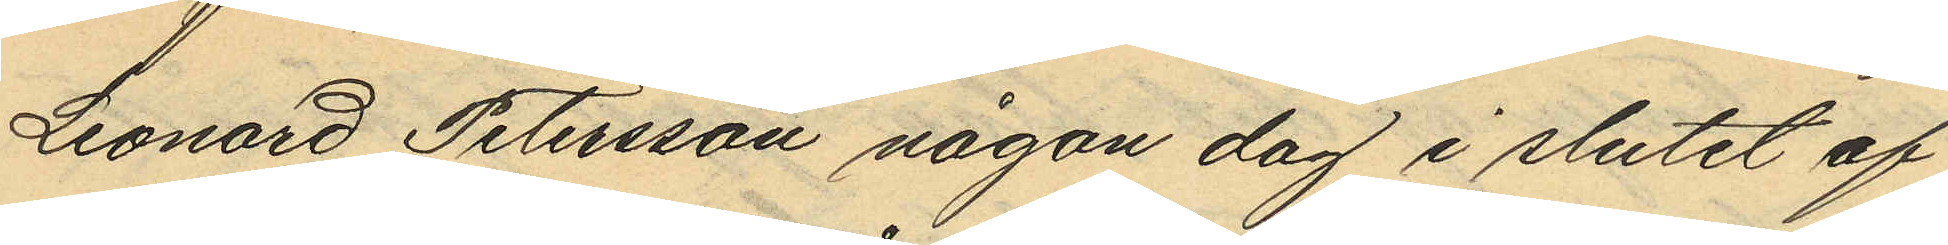Leonard Petersson någon dag i slutet af
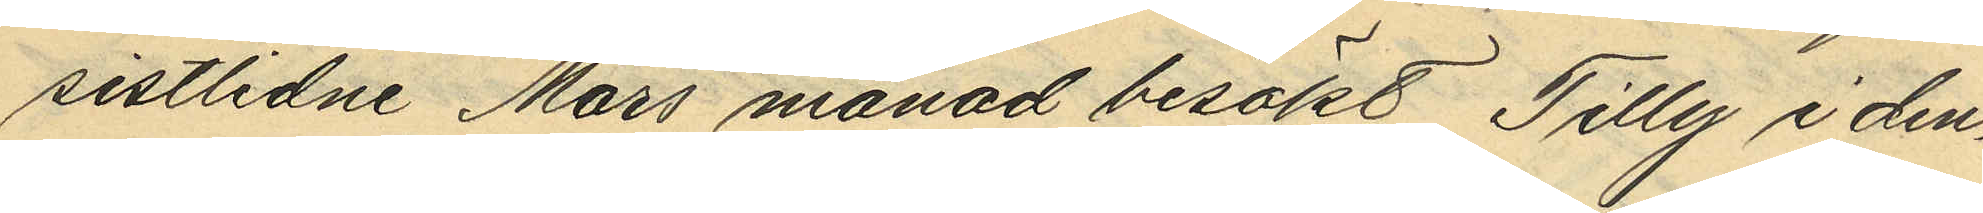sistlidne Mars månad besökt Tilly i den¬
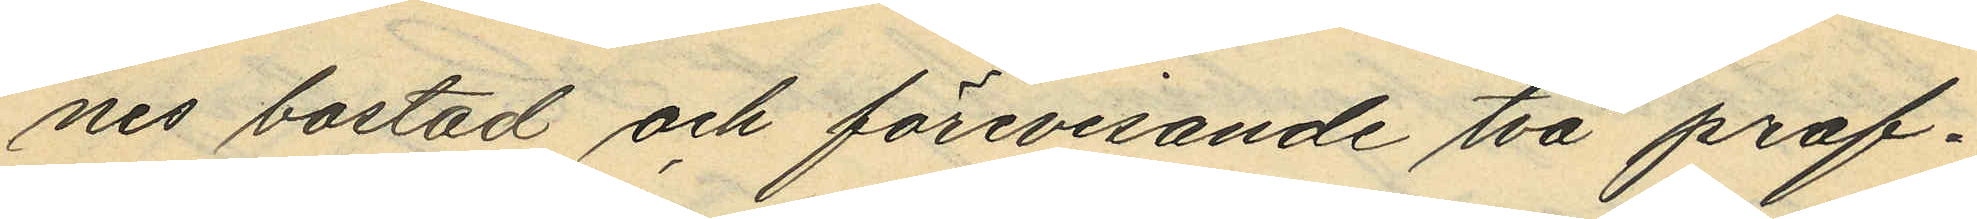nes bostad och förevisande två prof¬
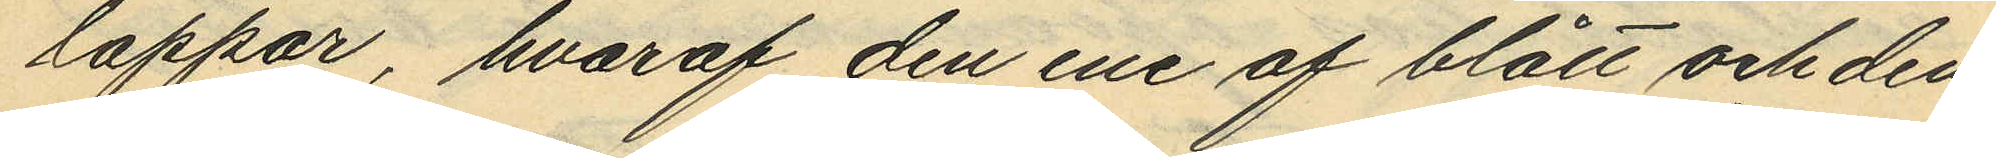lappar, hvaraf den ene af blått och den
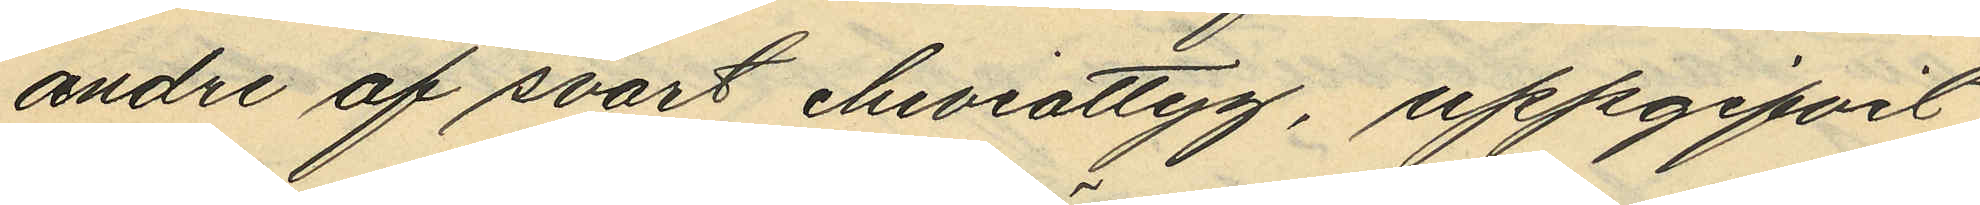andre af svart cheviottyg, uppgifvit
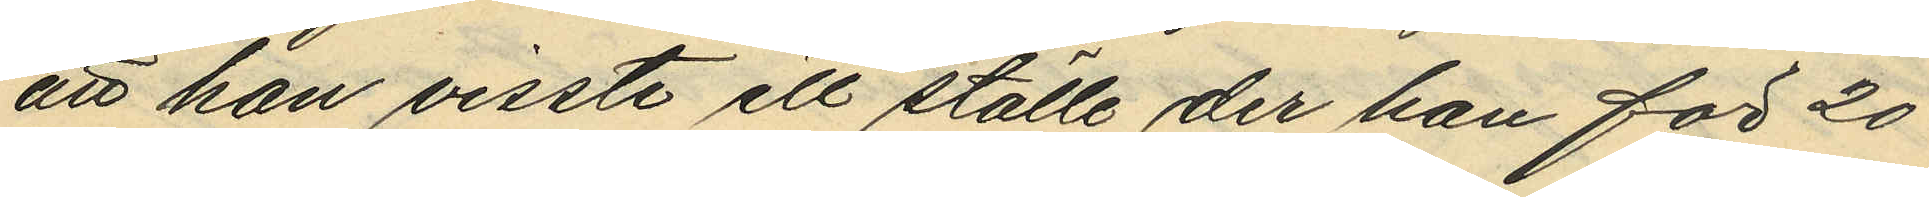att han visste ett ställe der han för 20
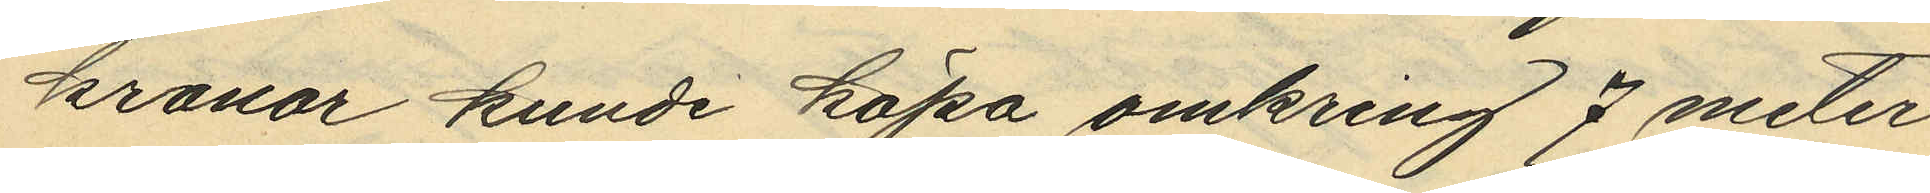kronor kunde köpa omkring 7 meter
